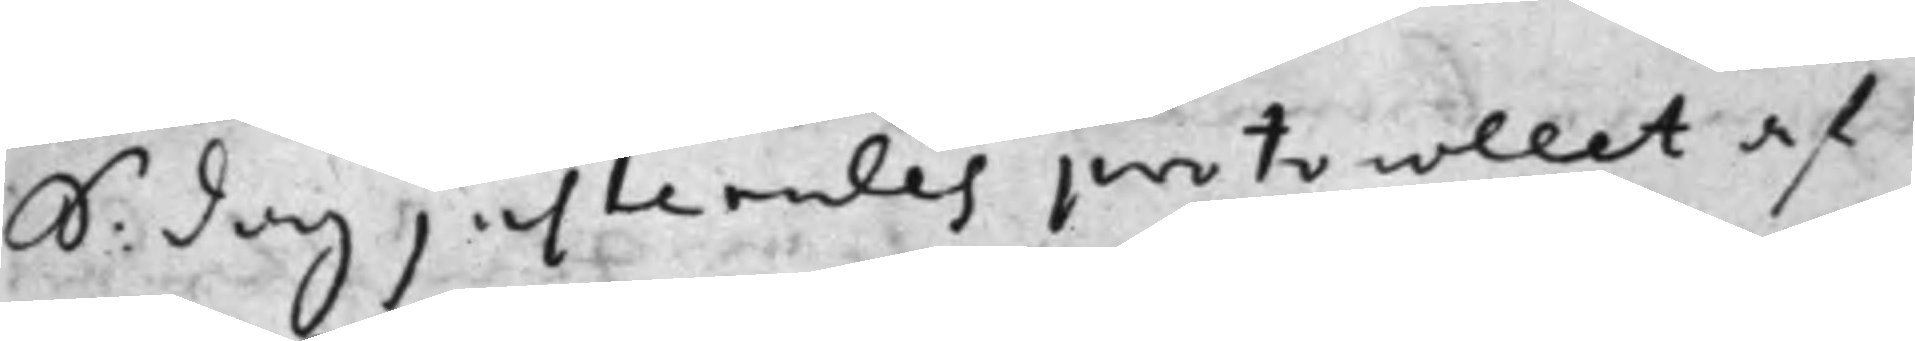S: dag justerades protocollet af
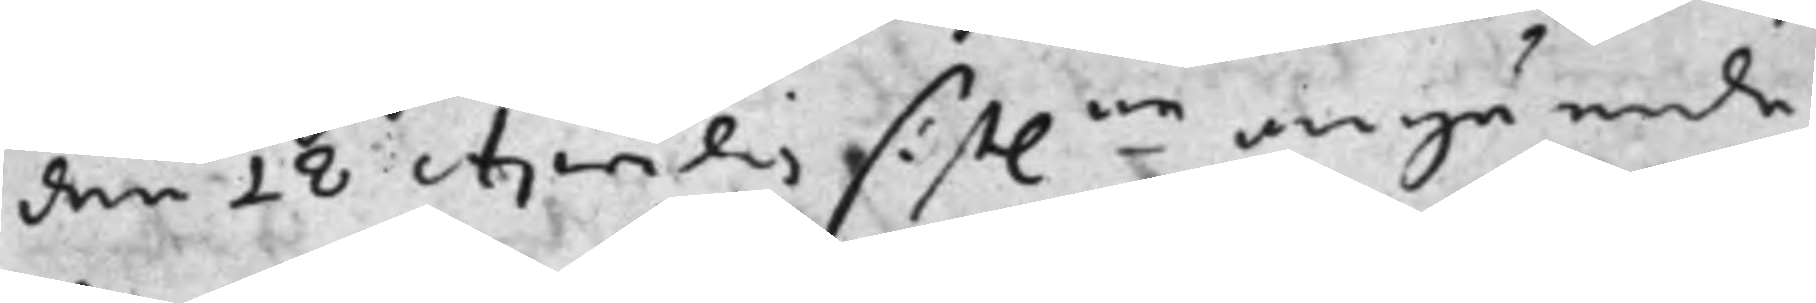den 18 Aprilis sist.ne angående
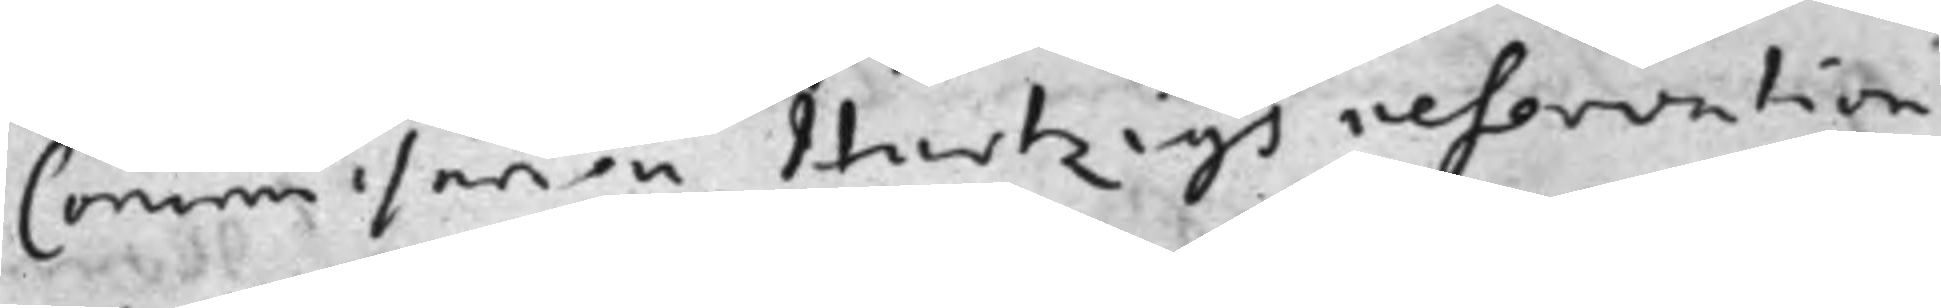Commissarien Hartzigs reservation
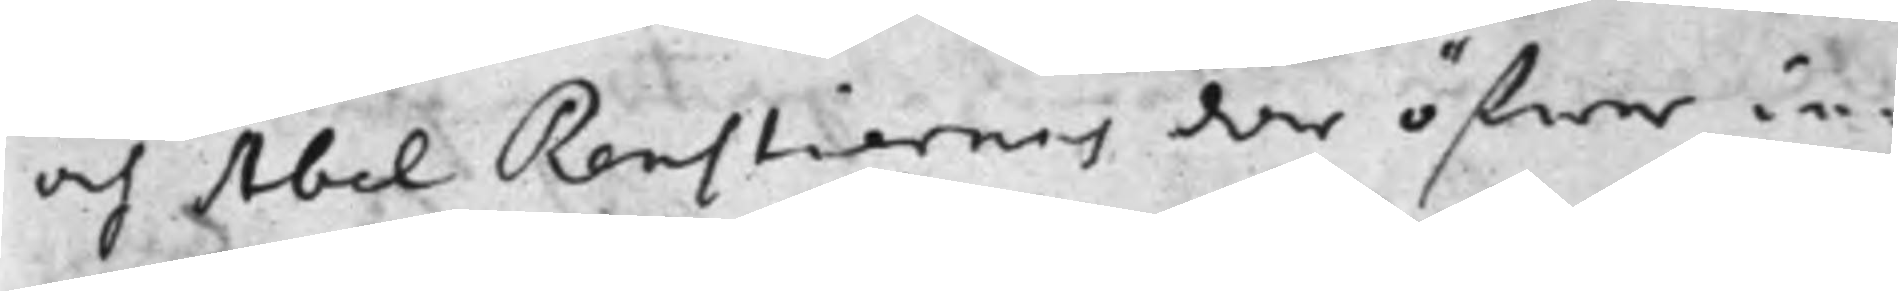och Abel Renstiernas der öfwer in¬
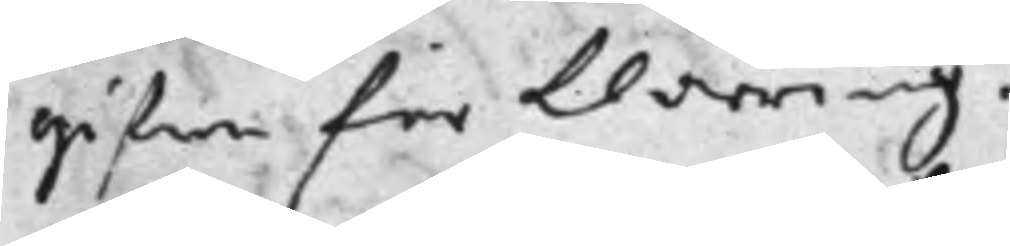gifne förklaring.
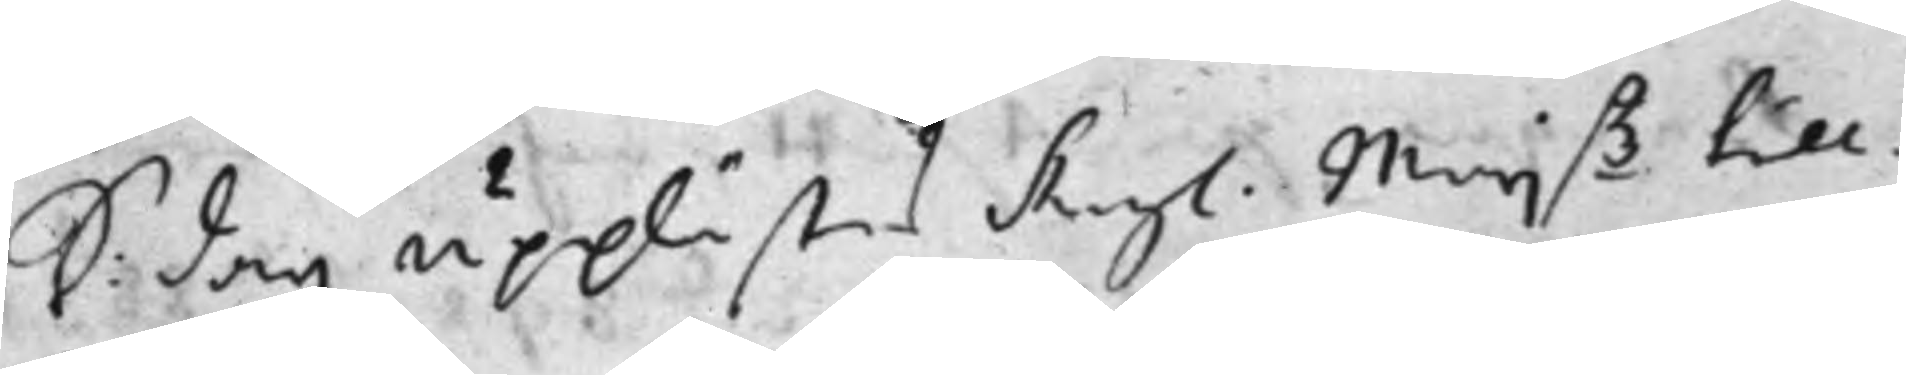S: dag upplästes Kongl. Maij.tz till
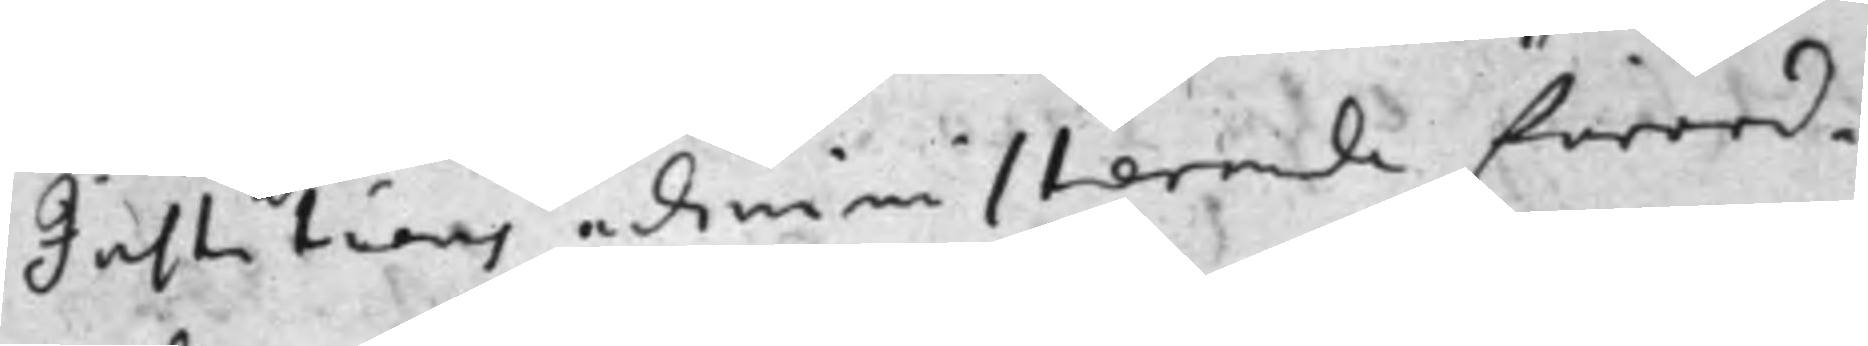Justitiens administrerande förord¬
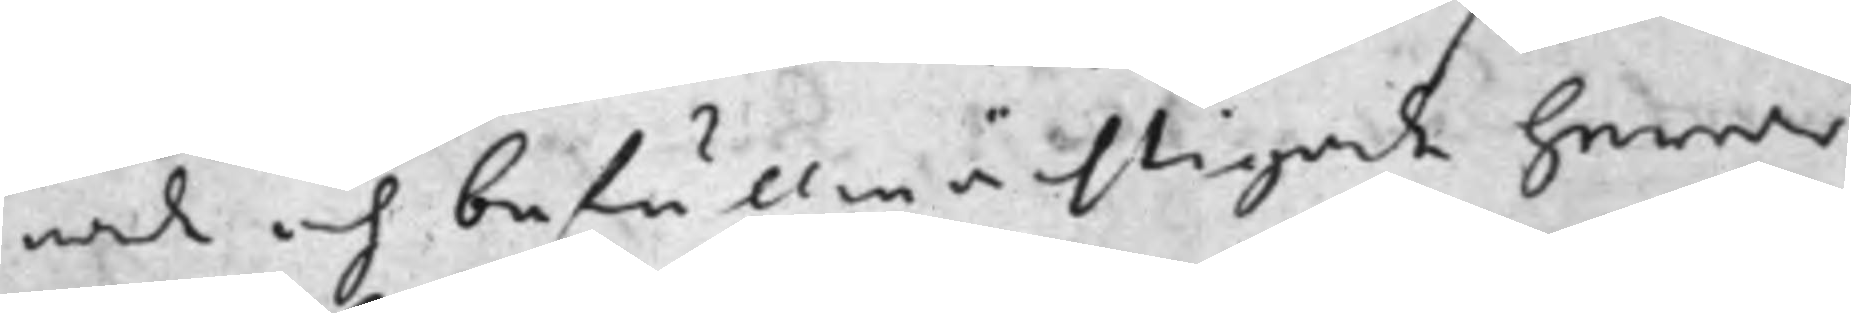nade och befullmächtigade herrar
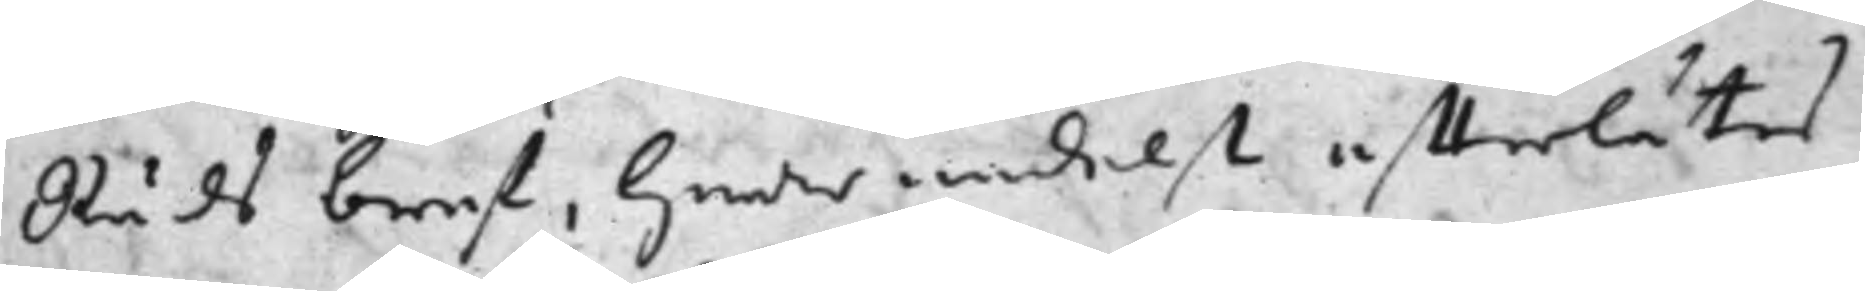Råds bref, hwarmedelst effterlåtes
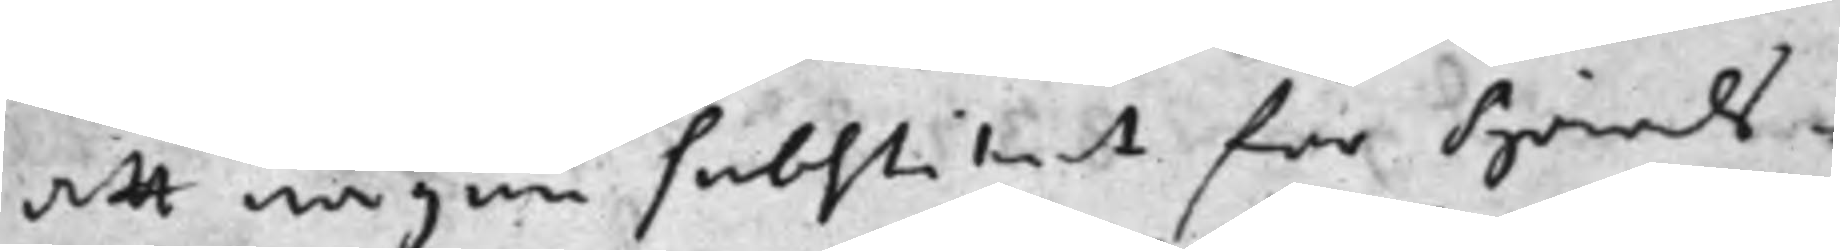att någon Substitut för Härads¬
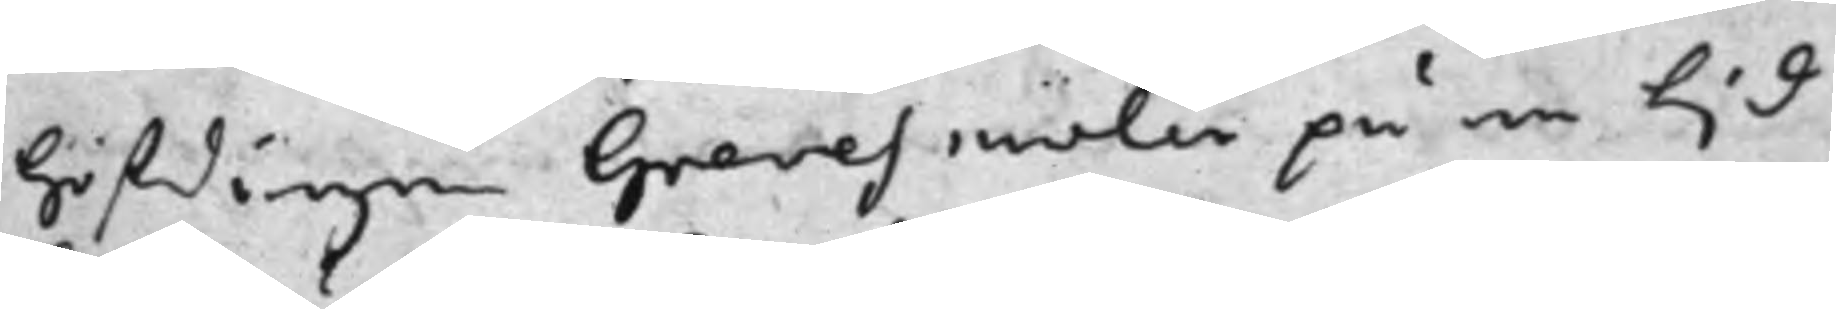höfdingen Grevesmölen på en tid
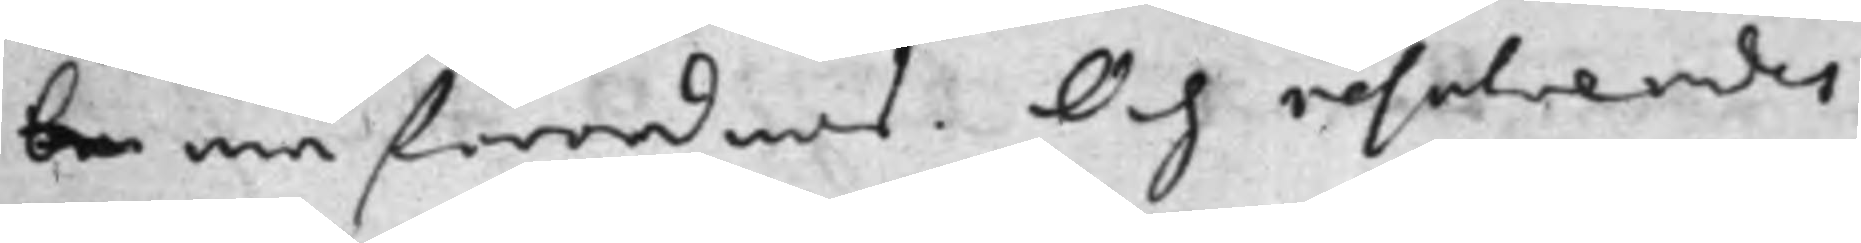be må förordnas. Och resolverades
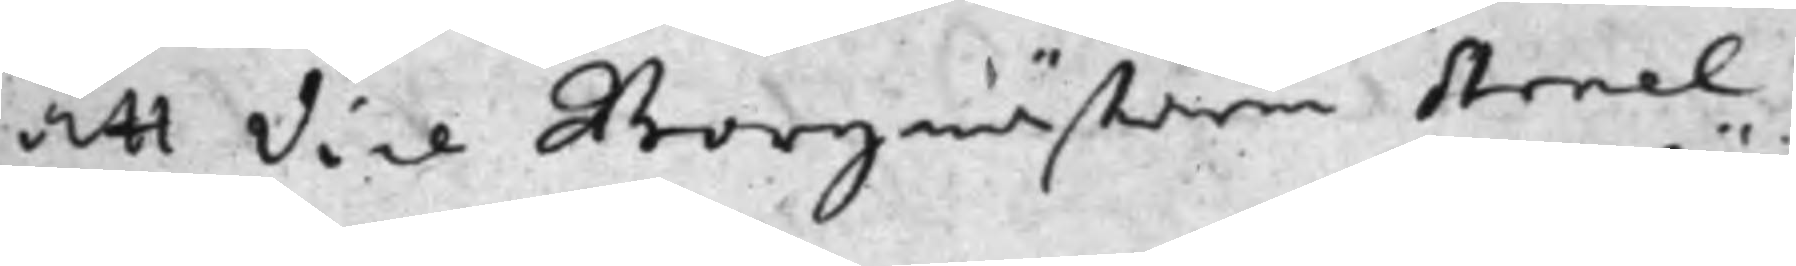att Vice Borgmästaren Arnel
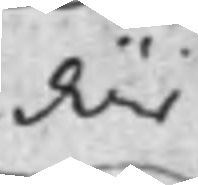där
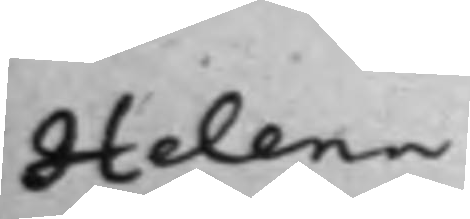Helena
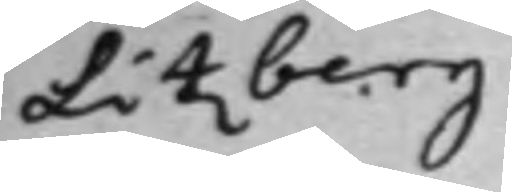Litzberg
